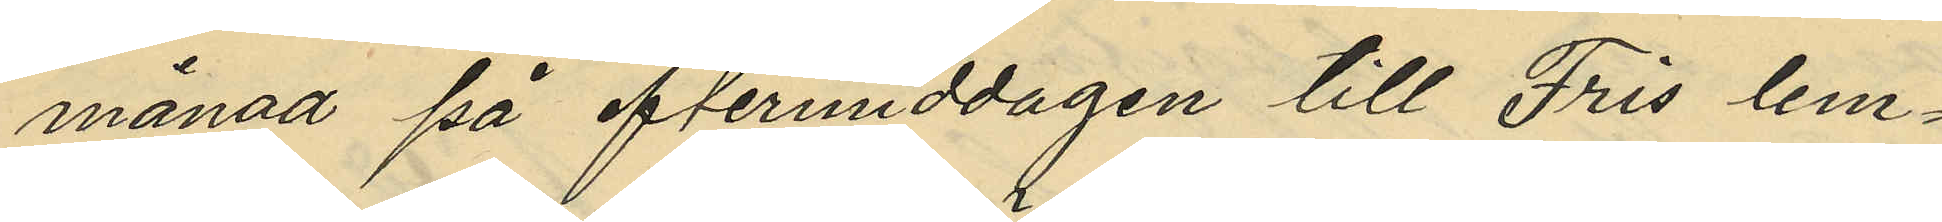månad på eftermiddagen till Fris lem¬
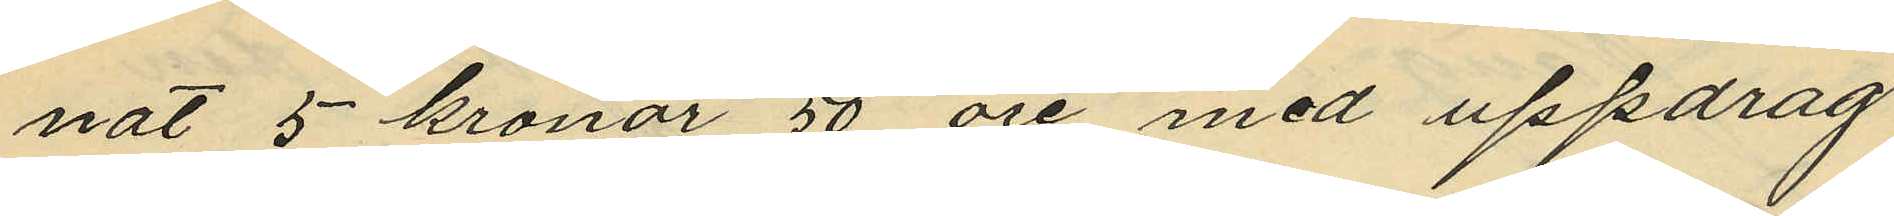nat 5 kronor 50 öre med uppdrag
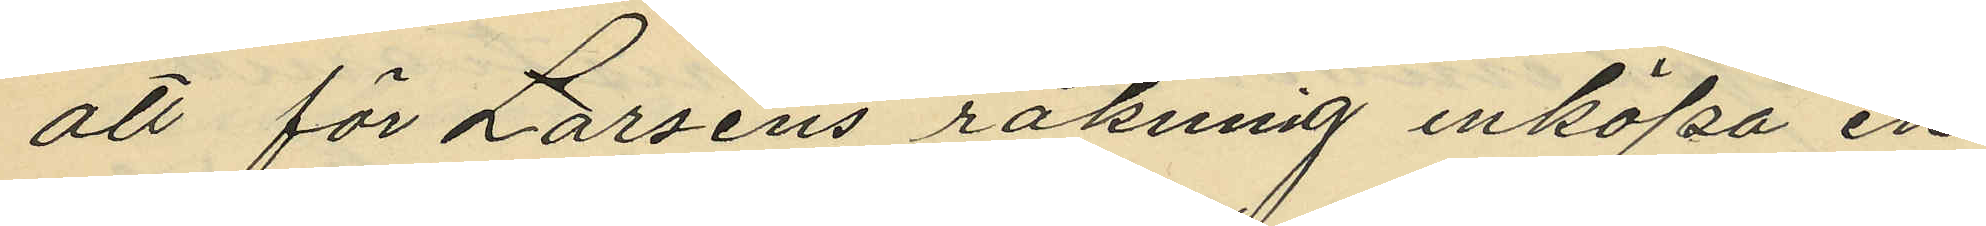att för Larsens räkning inköpa en
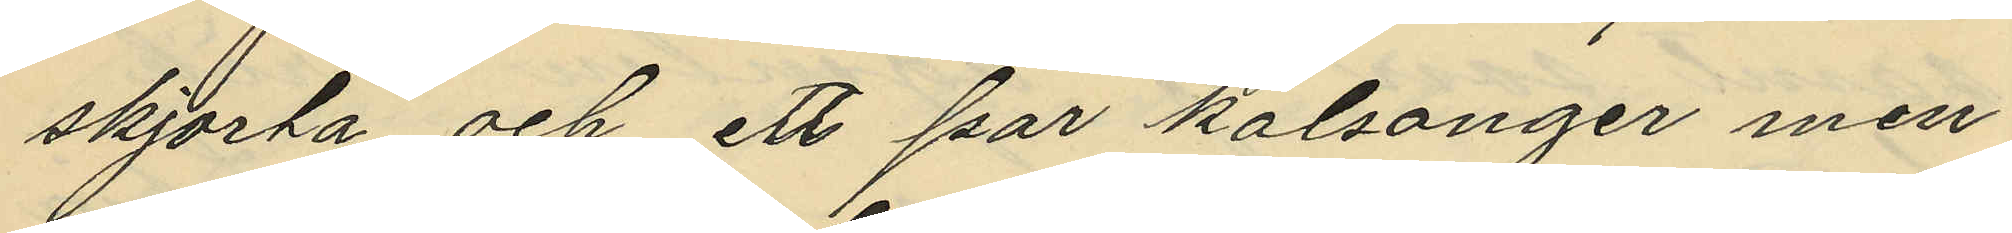skjorta och ett par kalsonger, men
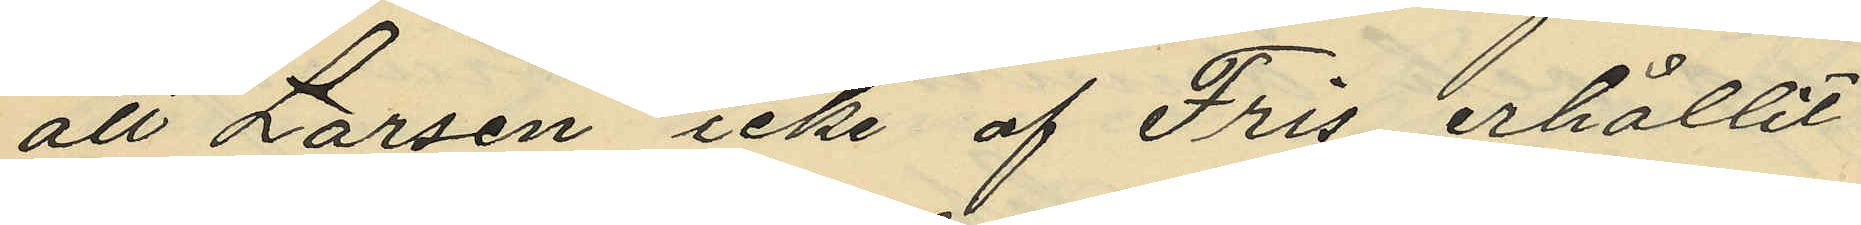att Larsen icke af Fris erhållit
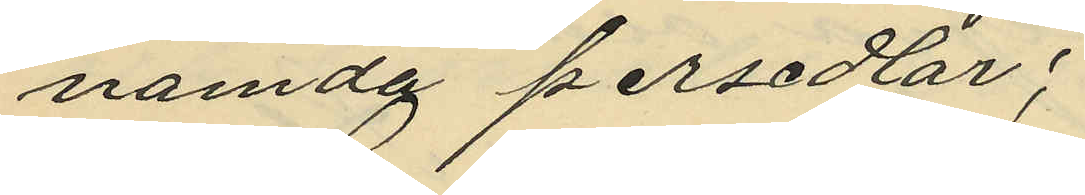nämda persedlar;
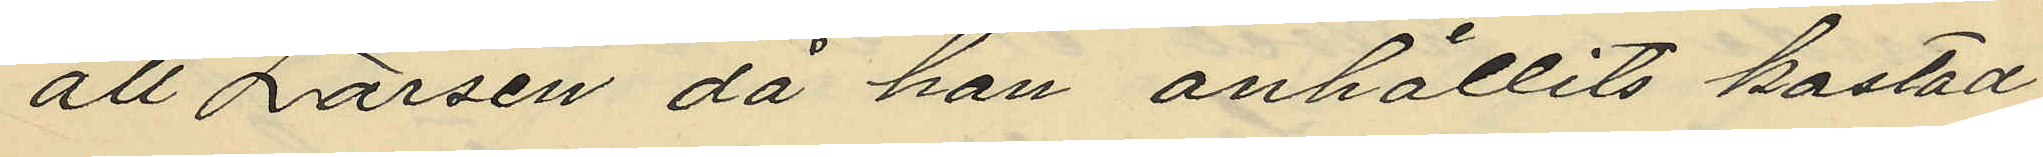att Larsen då han anhållits kastad
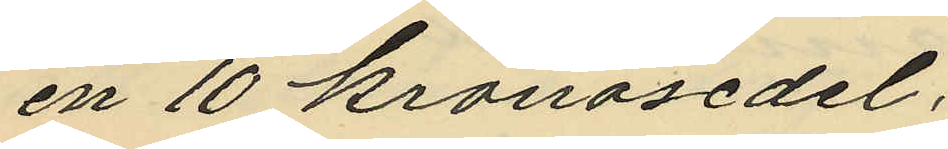en 10 kronosedel;
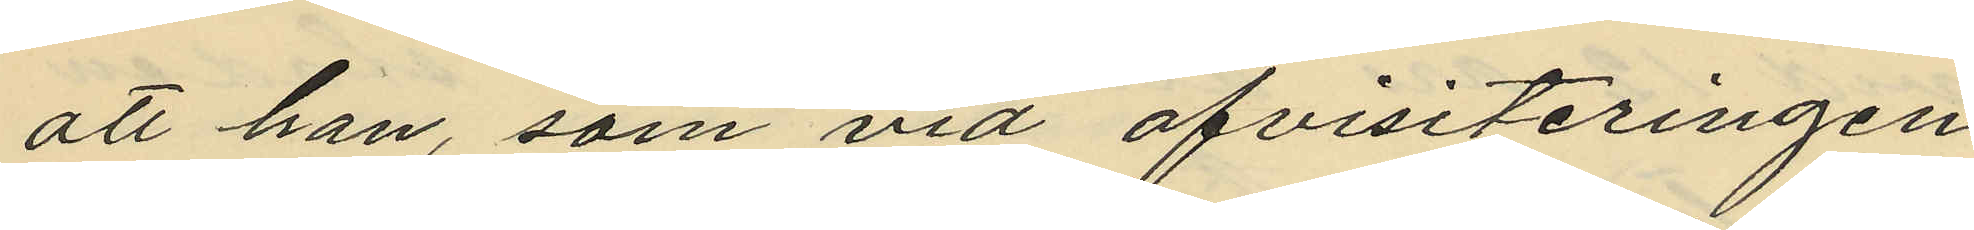att han, som vid afvisiteringen
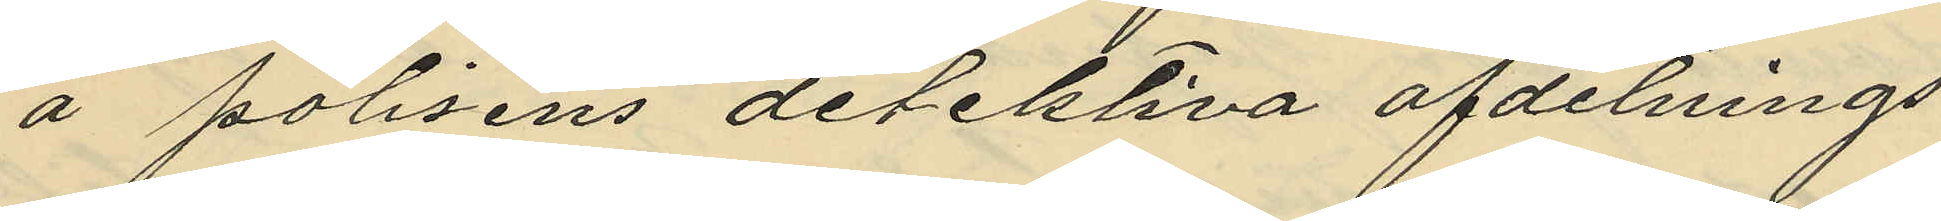å polisens detektiva afdelnings
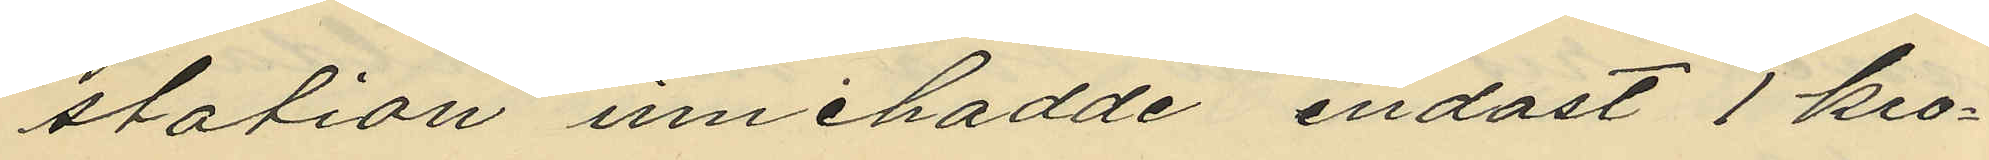station innehadde endast 1 kro¬
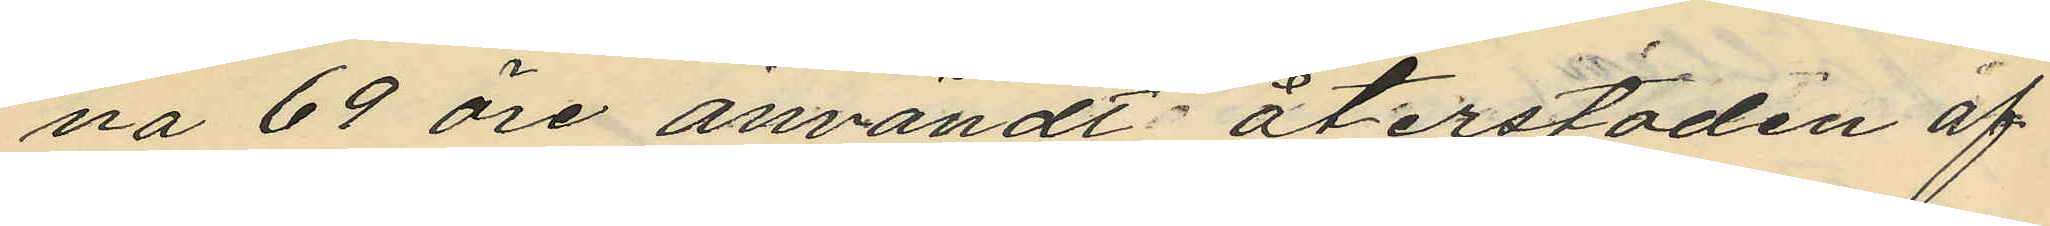na 69 öre användt återstoden af
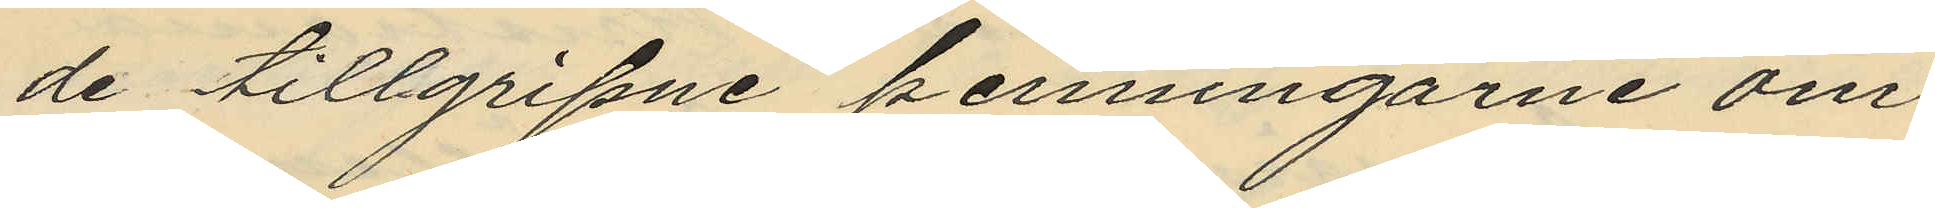de tillgripne penningarne om¬
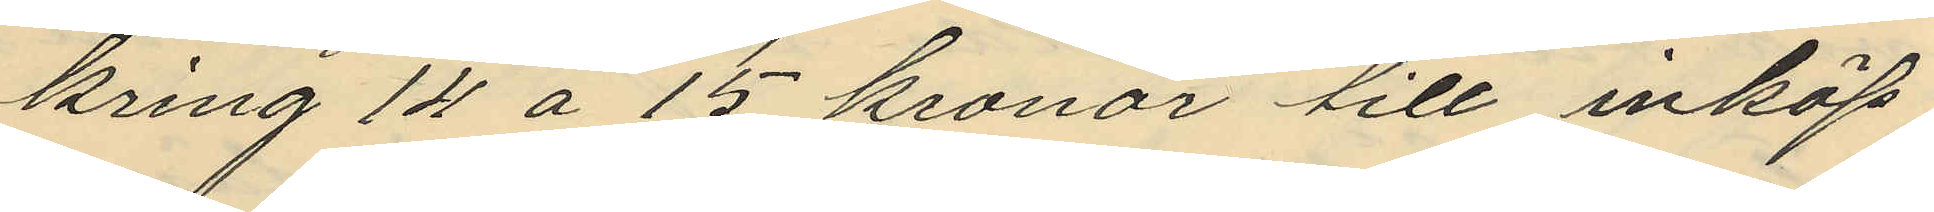kring 14 á 15 kronor till inköp
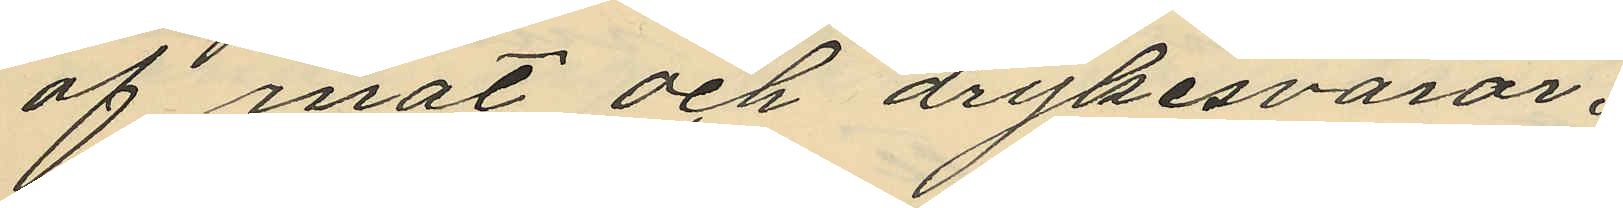af mat och drykesvaror.
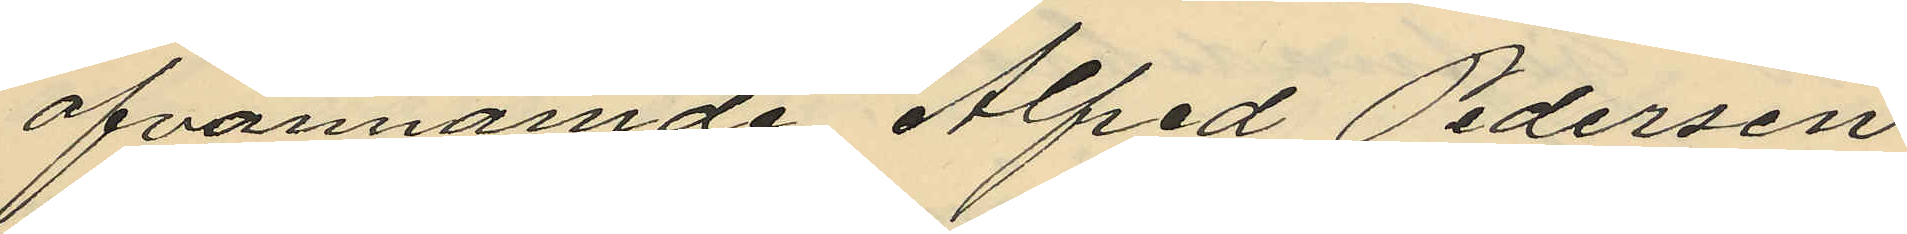ofvannämde Alfred Pedersen
